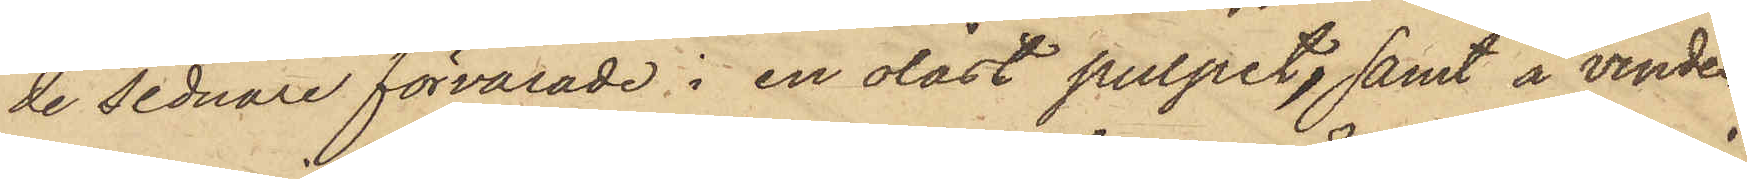de sednare förvarade i en olåst pulpet, samt å vinden
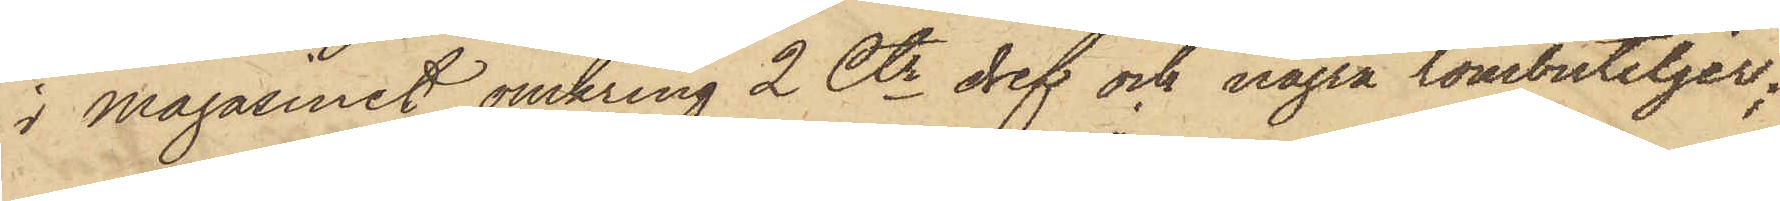i Magasinet omkring 2 Ctr dref och några tombuteljer;
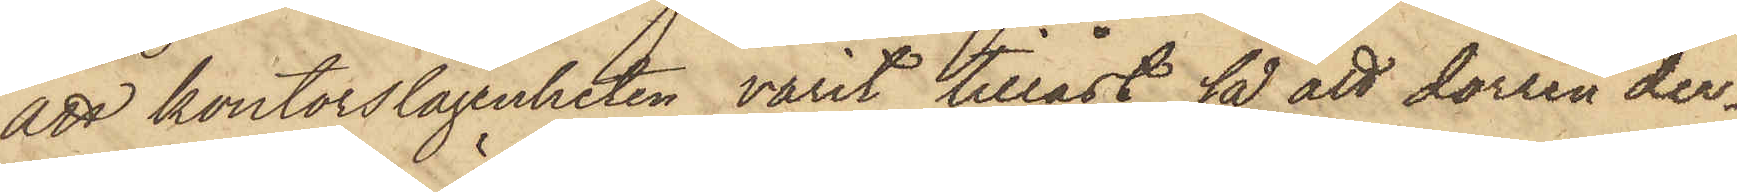att kontorslägenheten varit tillåst, så att dörren der¬
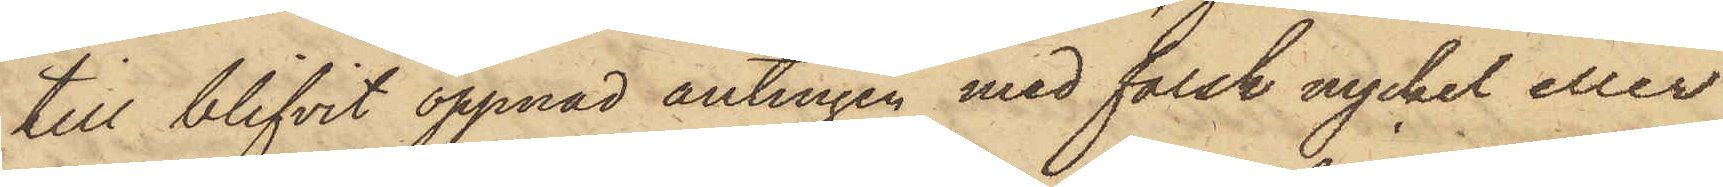till blifvit öppnad antingen med falsk nyckel eller
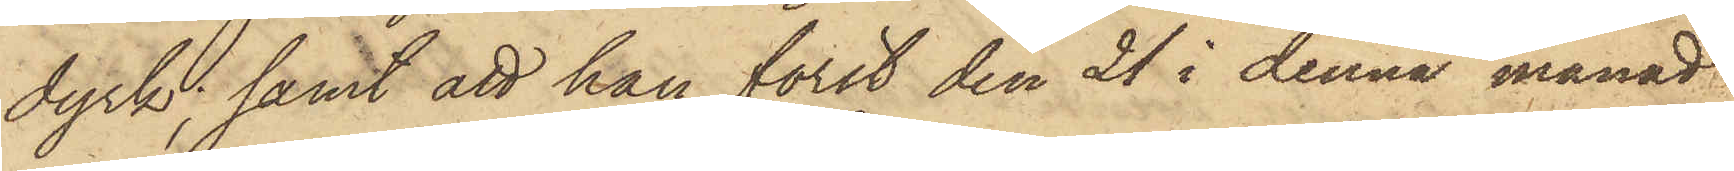dyrk; samt att han först den 21 i denna månad
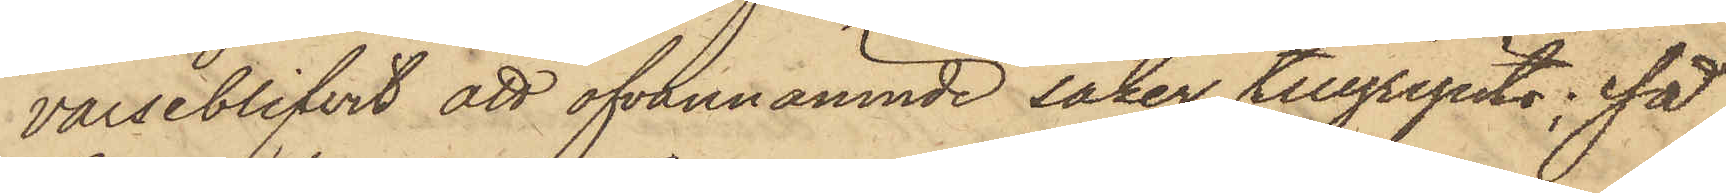varseblifvit att ofvannämnde saker tillgripits; så
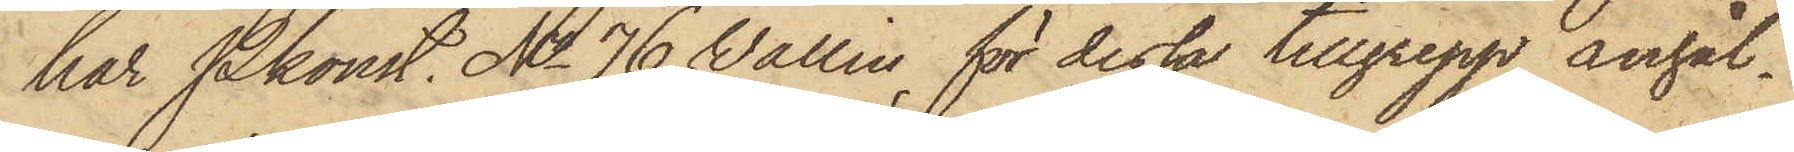har Pkonst. No 76 Vallin för dessa tillgrepp anhål¬
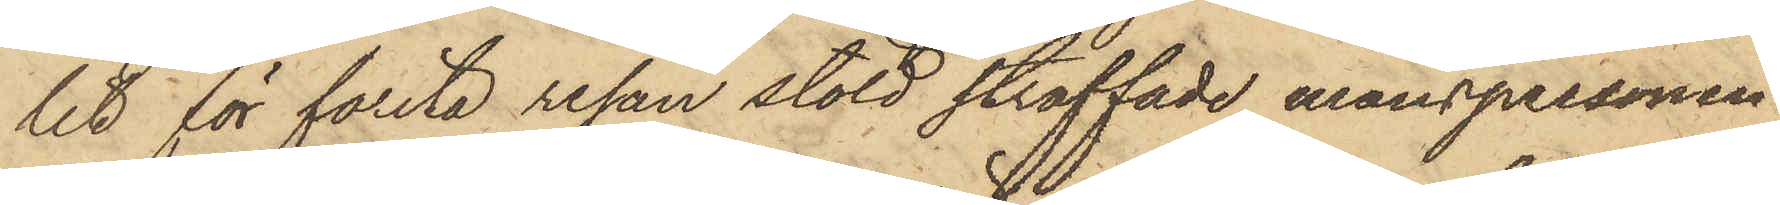lit för första resan stöld straffade manspersonen
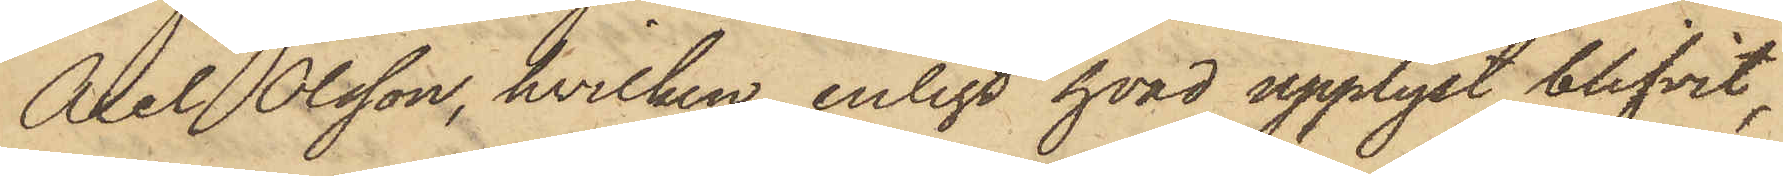Axel Olsson, hvilken, enligt hvad upplyst blifvit,
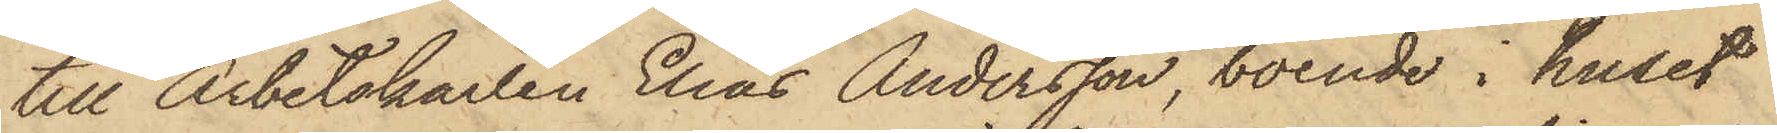till Arbetskarlen Elias Andersson, boende i huset
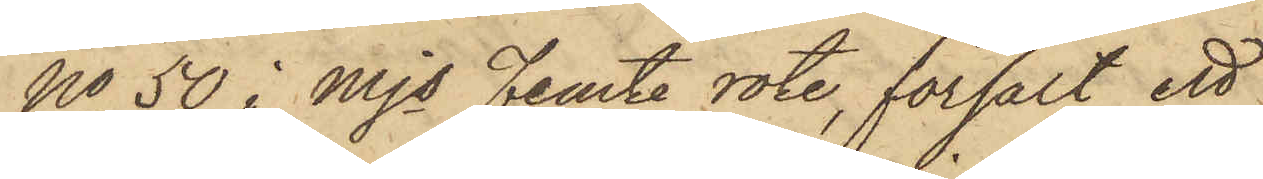No 50 i Mjs Femte rote, försålt ett
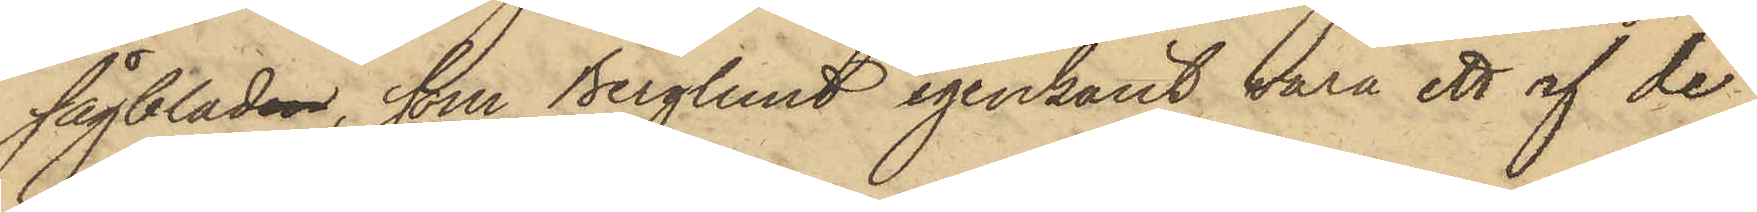sågbladen, som Berglund igenkänt vara ett af de
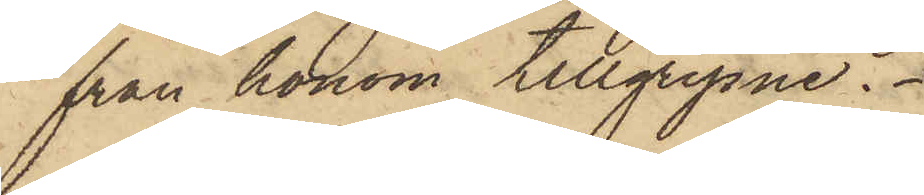från honom tillgripne.
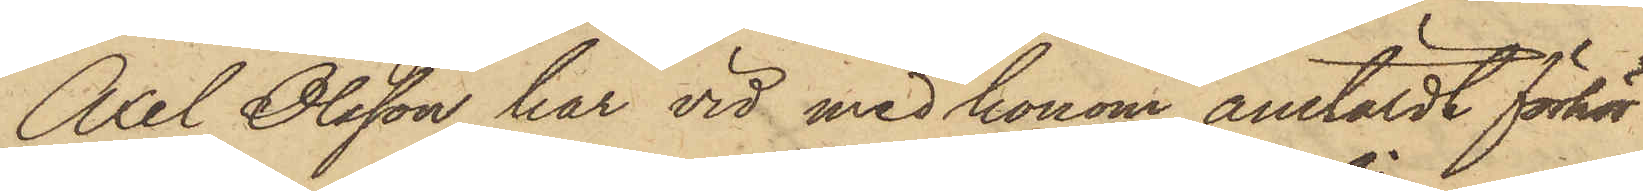Axel Olsson har vid med honom anstäldt förhör
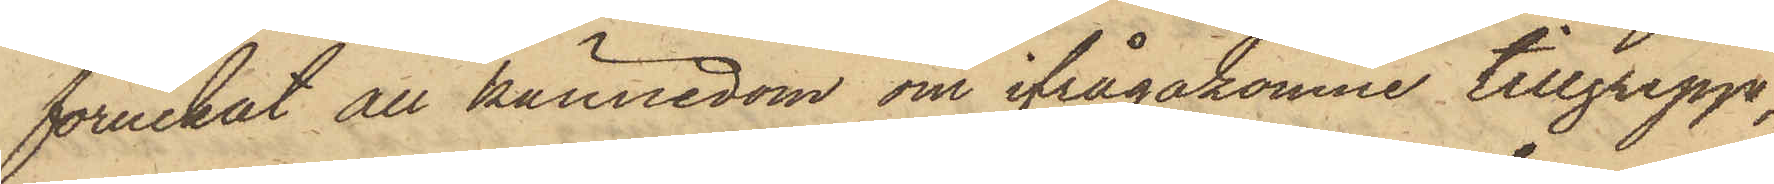förnekat all kännedom om ifrågakomne tillgrepp,
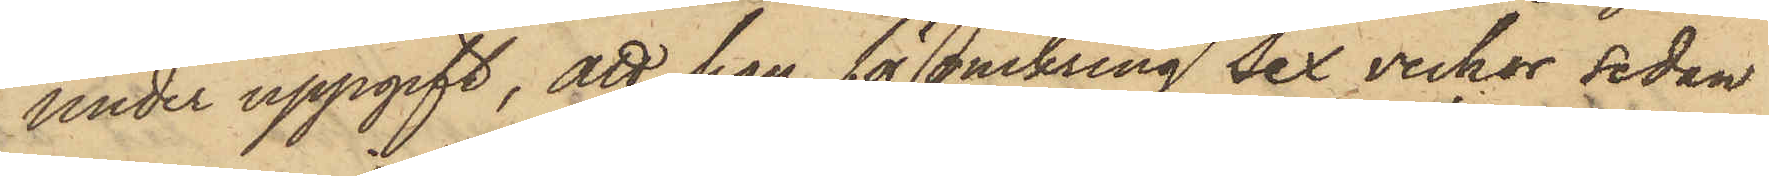under uppgift, att han för omkring sex veckor sedan
